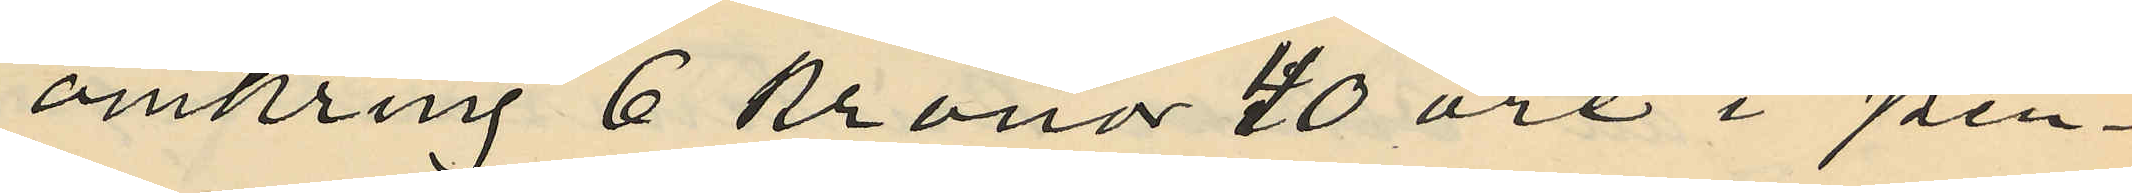omkring 6 kronor 40 öre i pen¬
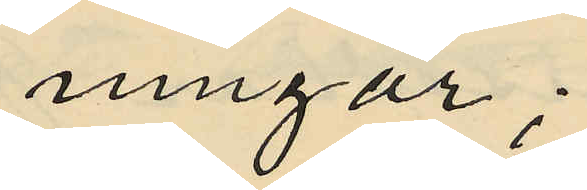ningar;
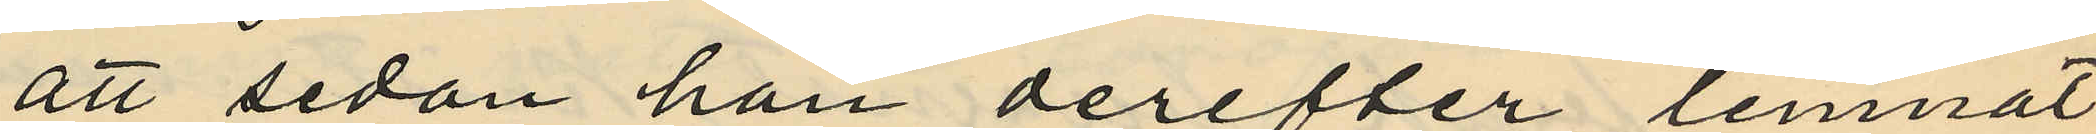att sedan han derefter lemnat
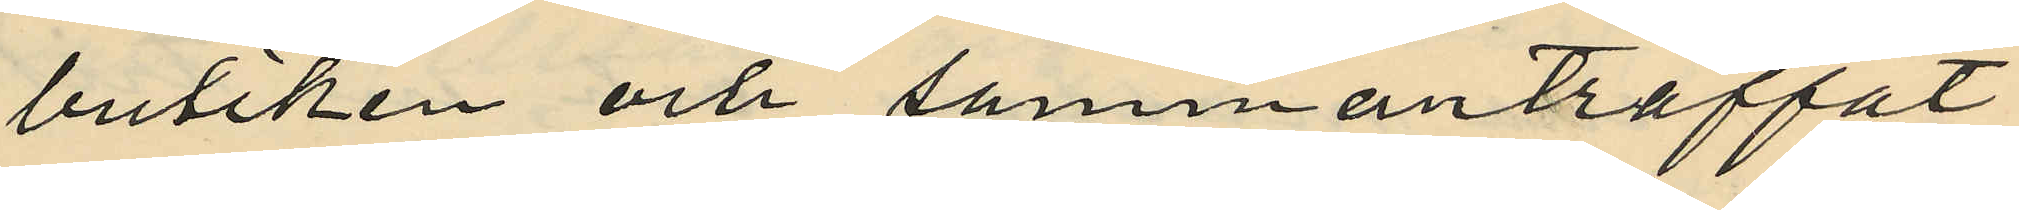butiken och sammanträffat
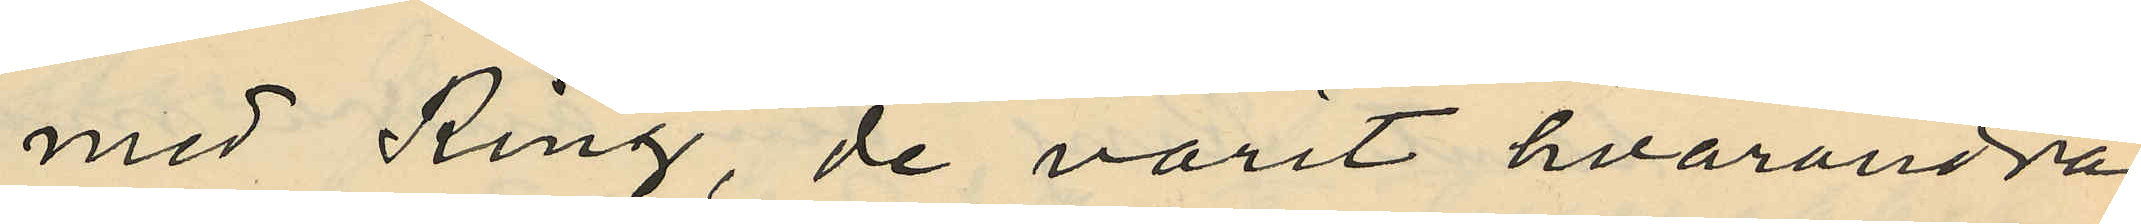med Ring, de varit hvarandra
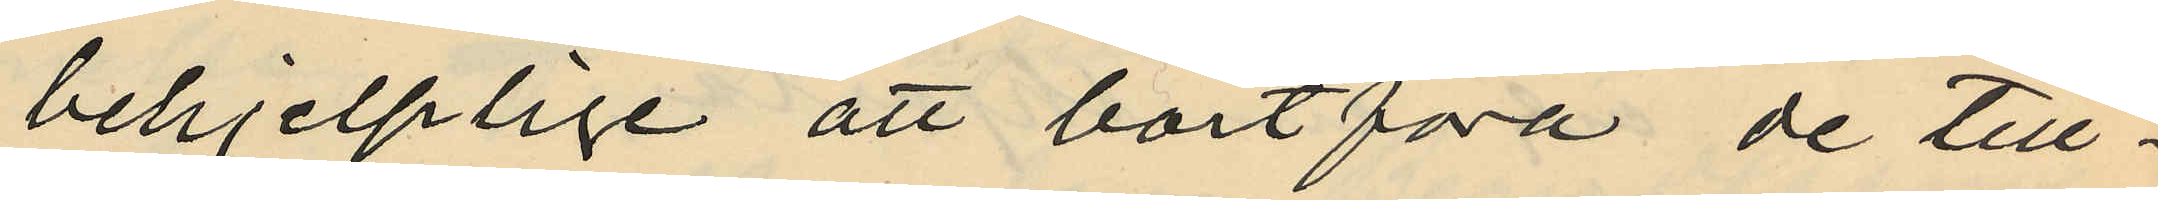behjelplige att bortföra de till¬
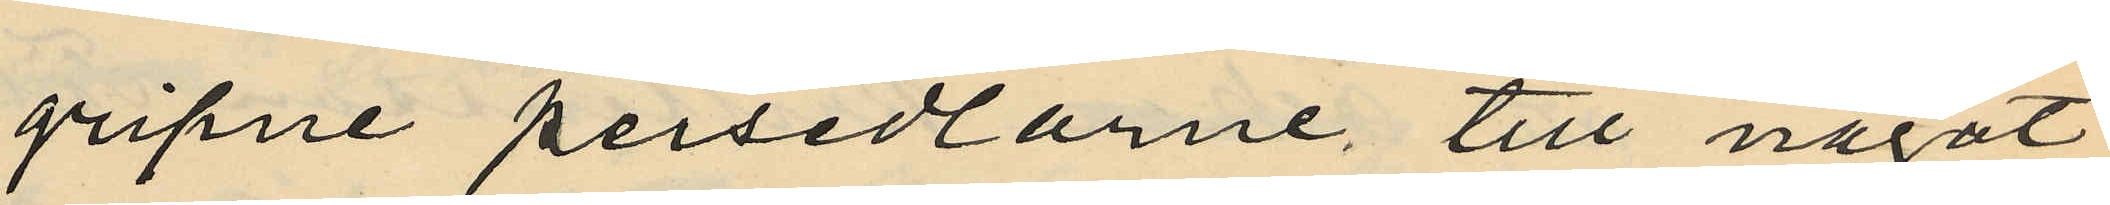gripne persedlarne till något
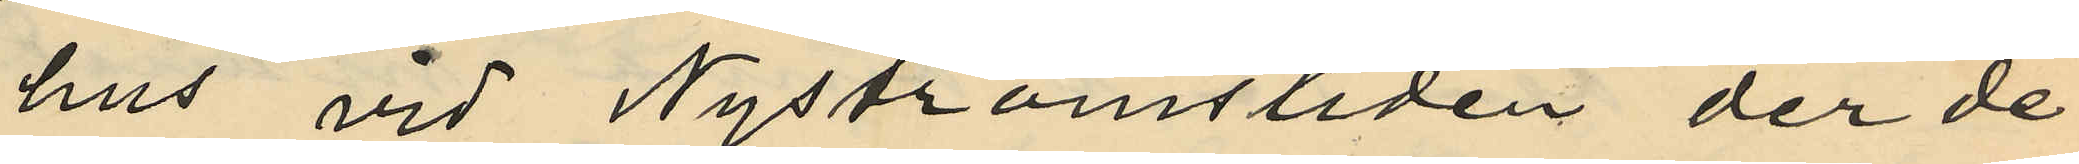hus vid Nyströmsliden der de
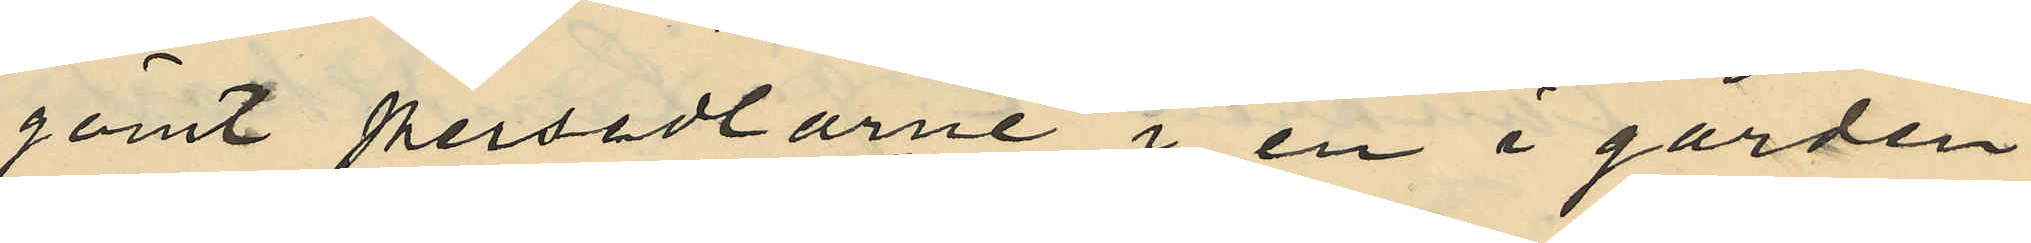gömt persedlarne i en i gården
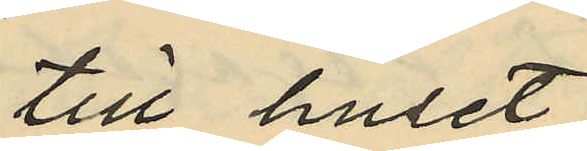till huset
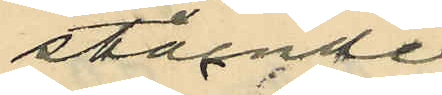stående
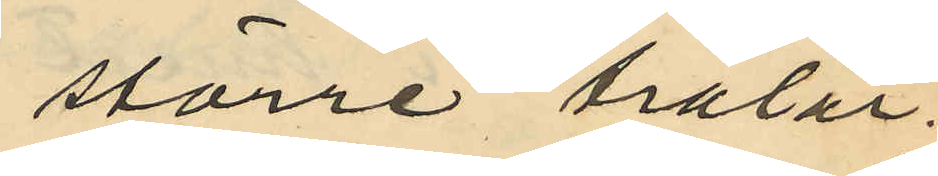större trälår;
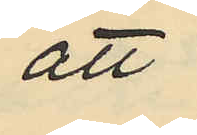att
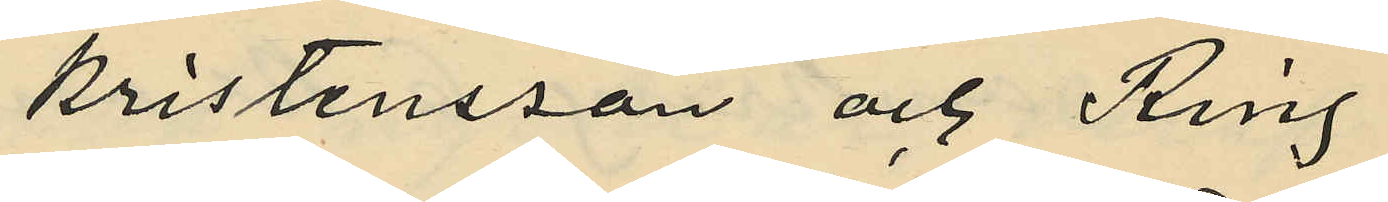Kristensson och Ring
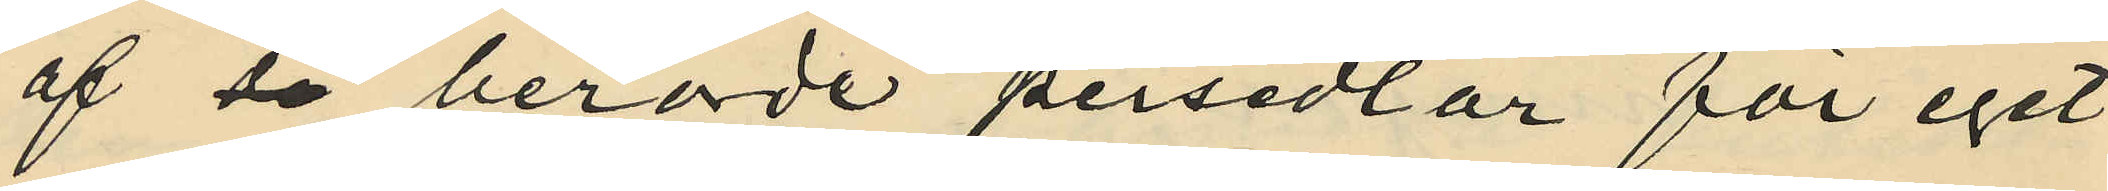af de berörde persedlar för eget
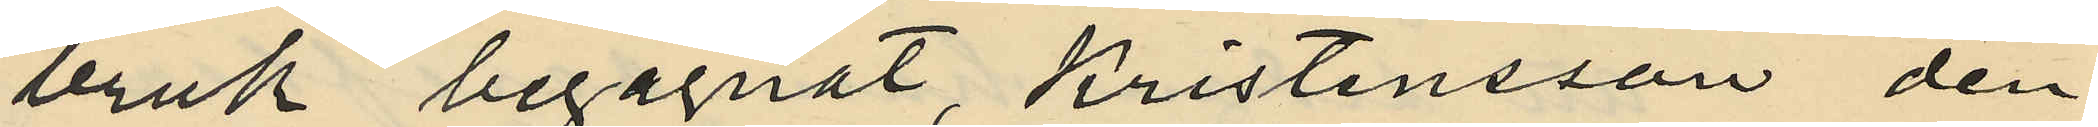bruk begagnat, Kristensson den
